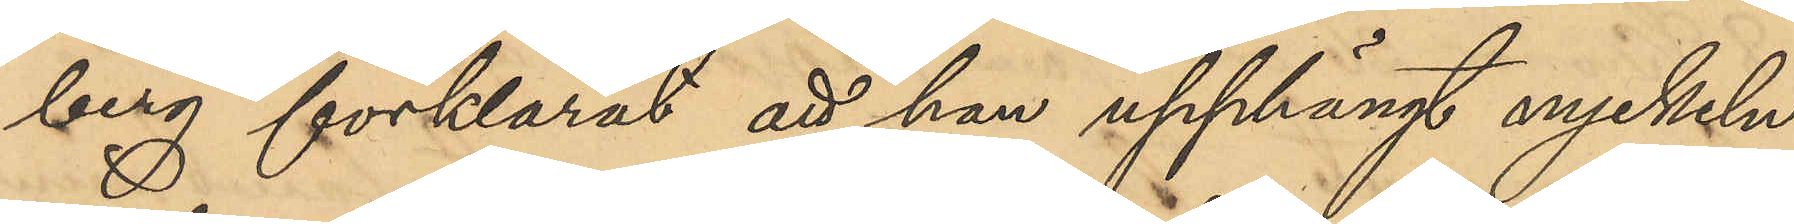berg förklarat att han upphängt nyckeln
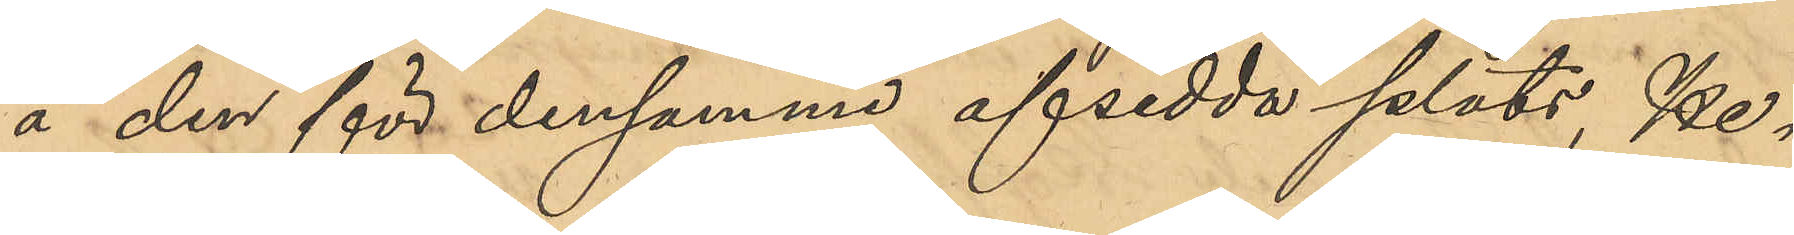å den för densamme afsedda plats, He¬
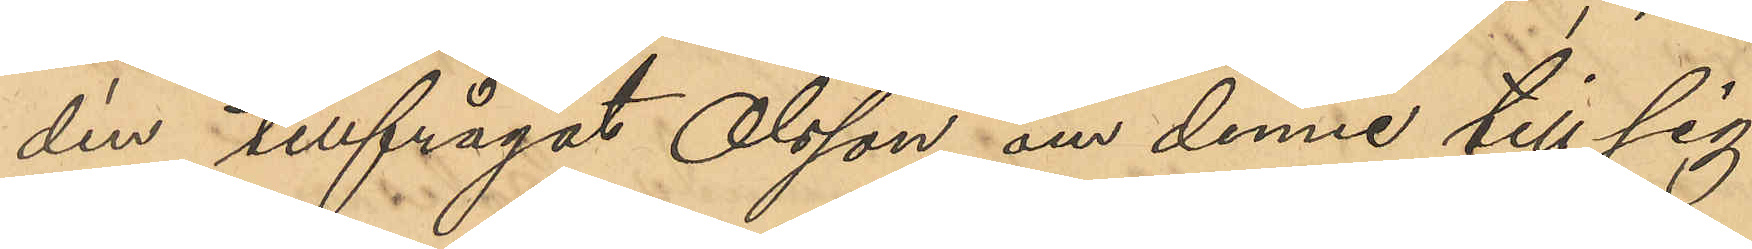dén tillfrågat Olsson om denne till sig
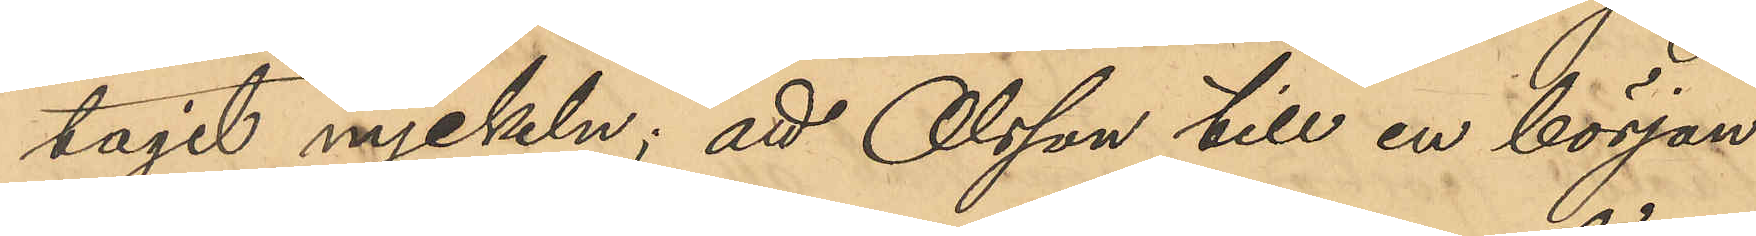tagit nyckeln; att Olsson till en början
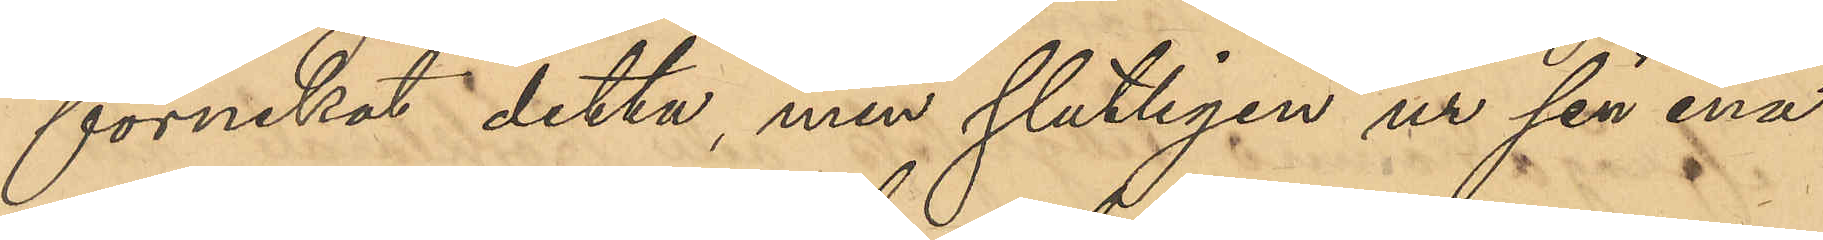förnekat detta, men slutligen ur sin ena
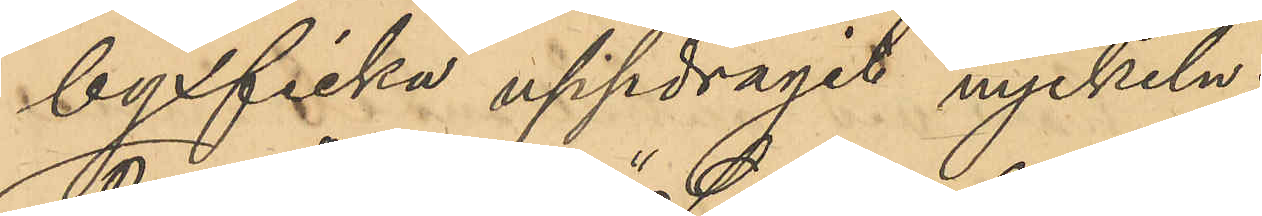byxficka uppdragit nyckeln;
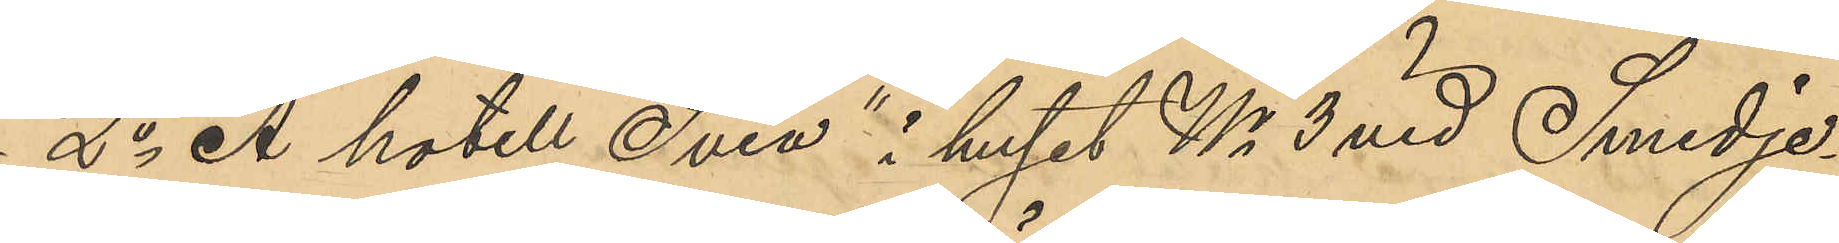2o Å hotell "Svea" i huset No 3 vid Smedje¬
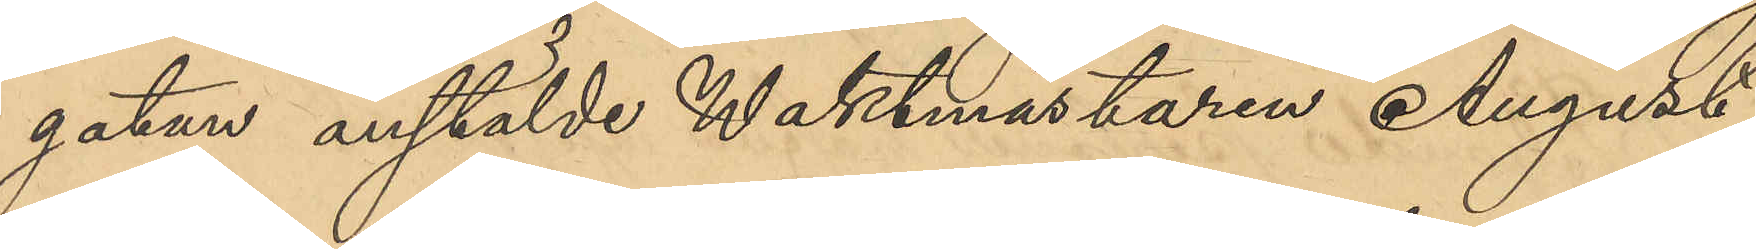gatan anstälde Waktmästaren August
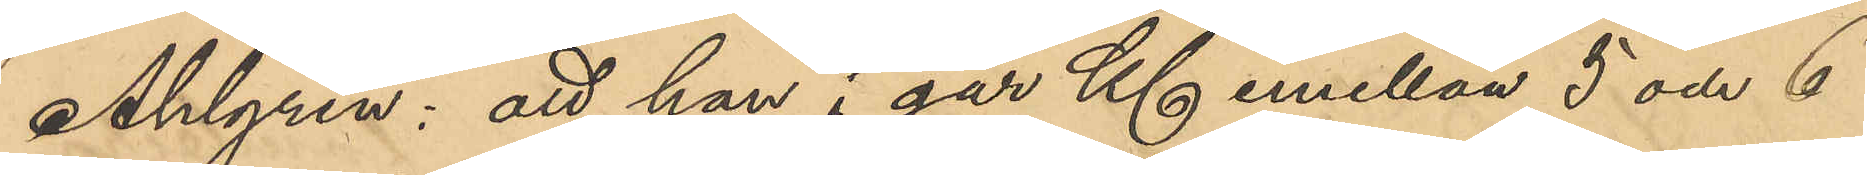Ahlgren: att han i går Kl emellan 5 och 6
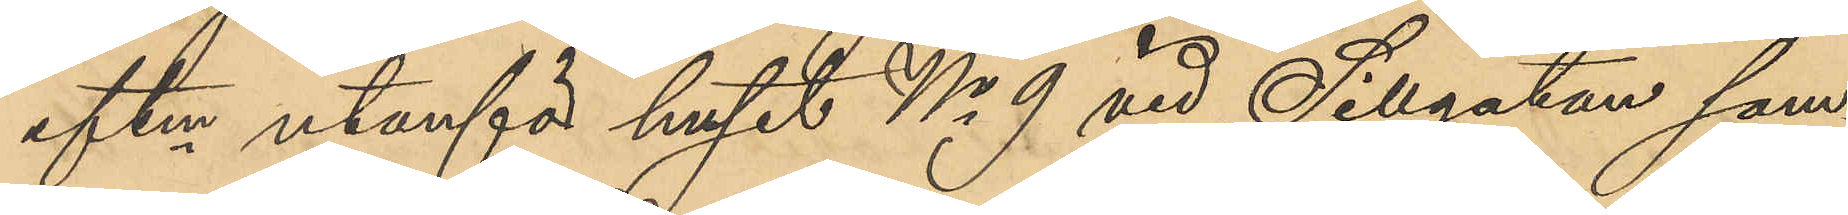eftm  utanför huset No 9 vid Sillgatan sam¬
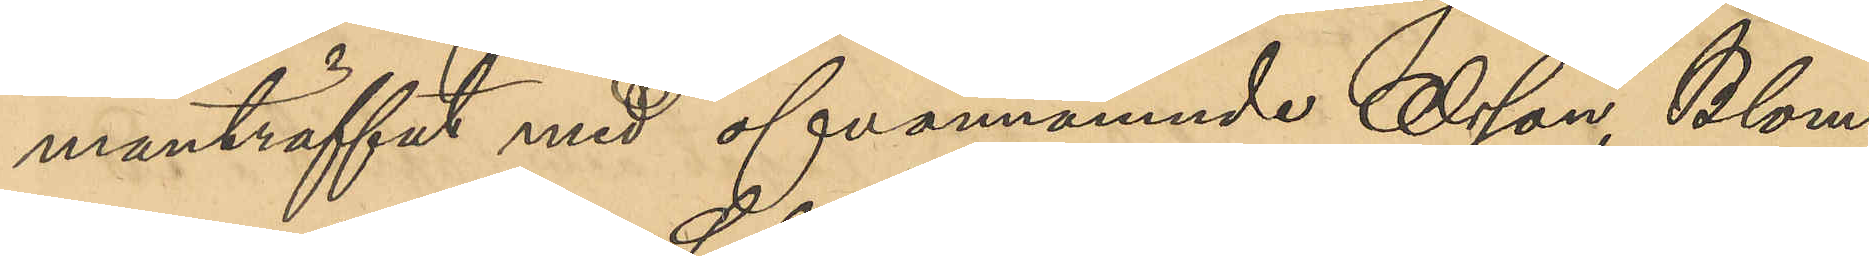manträffat med ofvannämnde Olsson, Blom¬
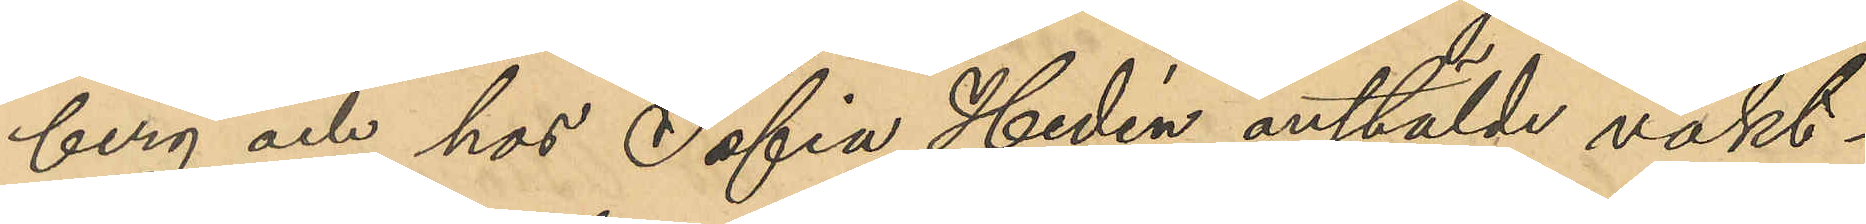berg och hos Sofia Hedén anstälde vakt¬
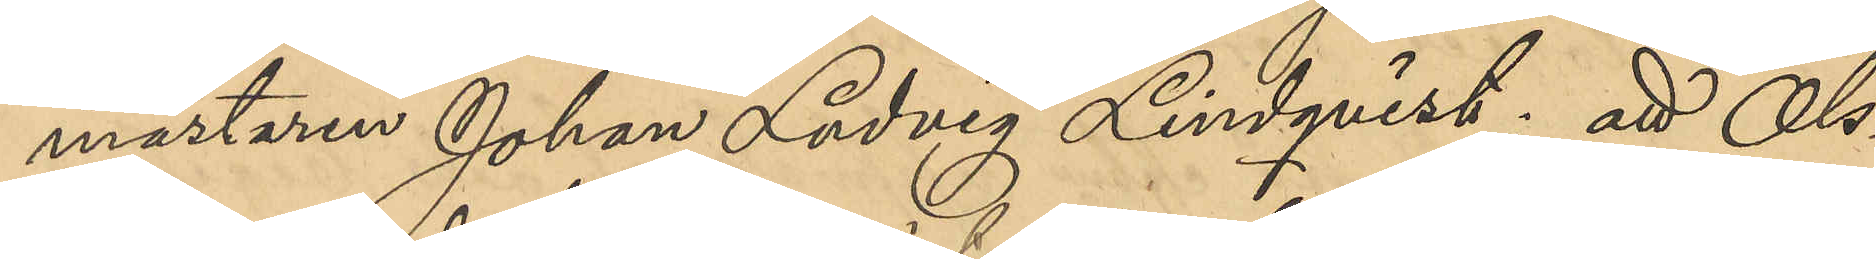mästaren Johan Ludvig Lindqvist; att Ols¬
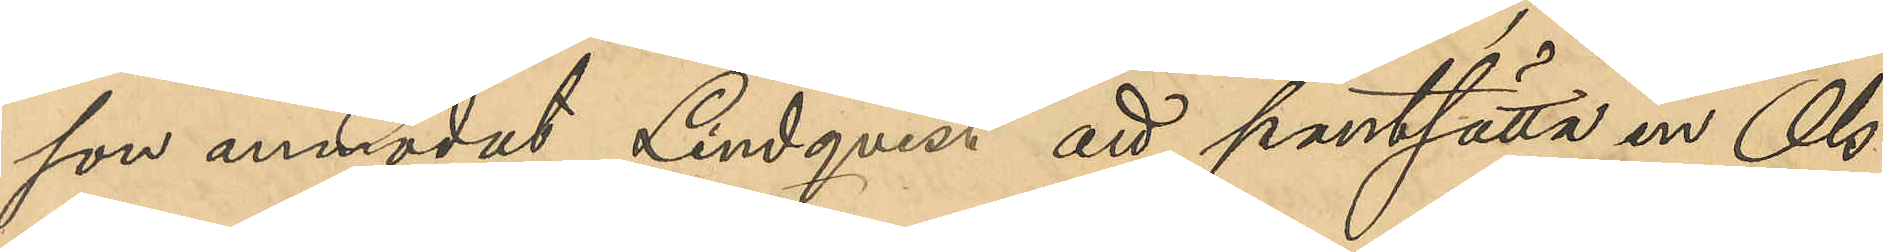son anmodat Lindqvist att pantsätta en Ols¬
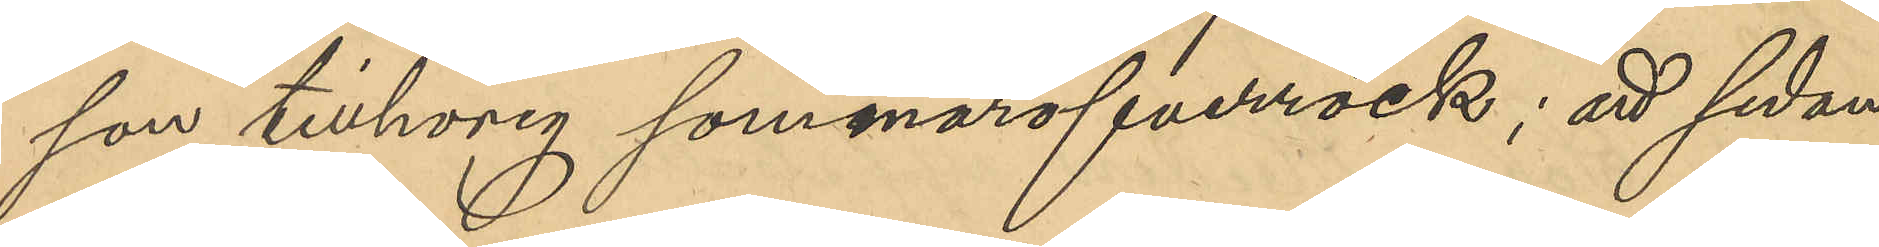son tillhörig sommaröfverrock; att sedan
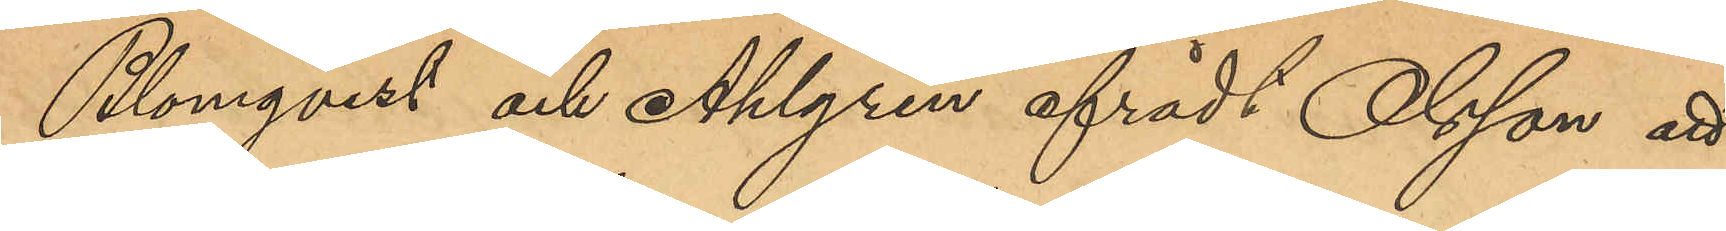Blomqvist och Ahlgren afrådt Olsson att
